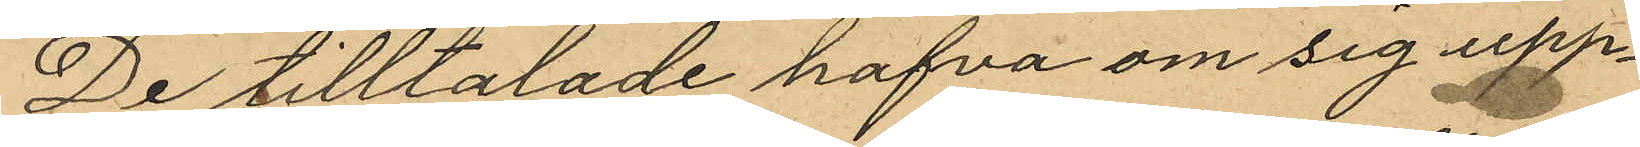De tilltalade hafva om sig upp¬
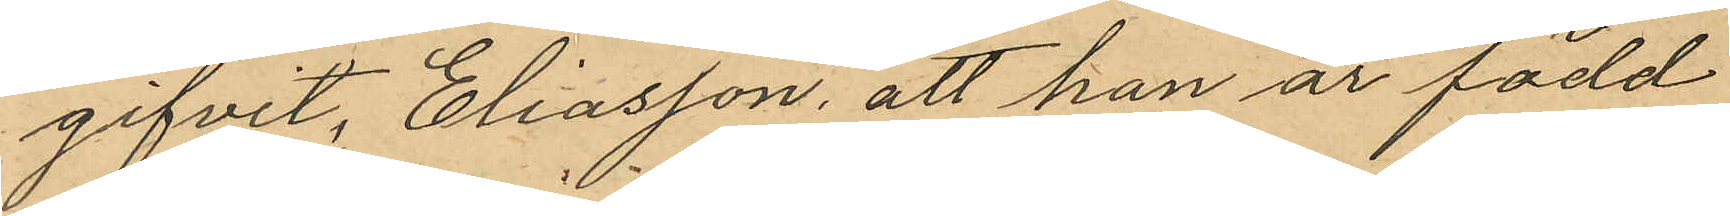gifvit, Eliasson, att han är född
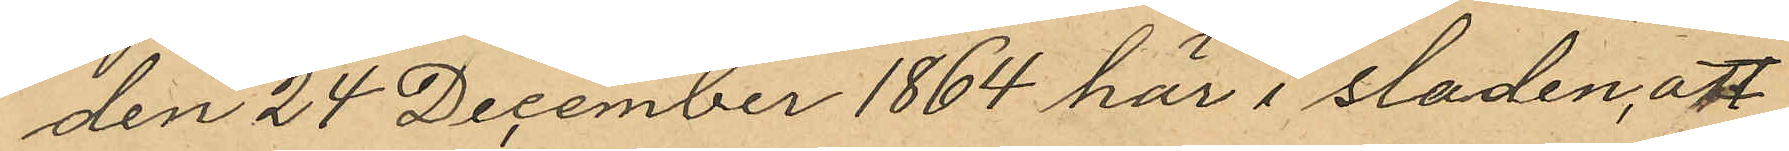den 24 December 1864 här i staden, att
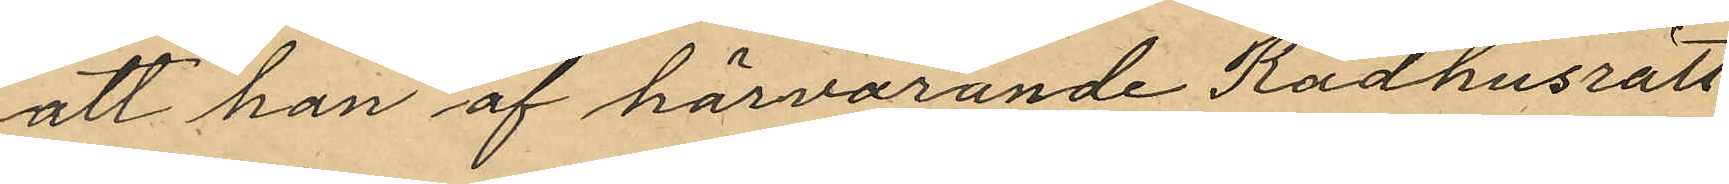att han af härvarande Rådhusrätt
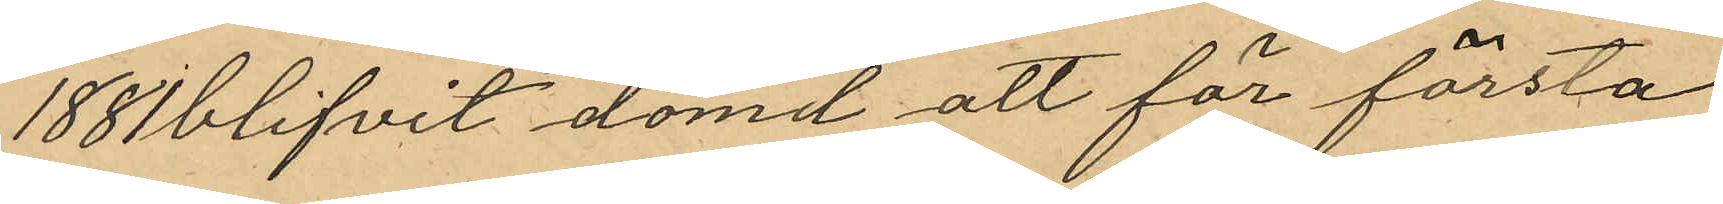188 blifvit dömd att för första
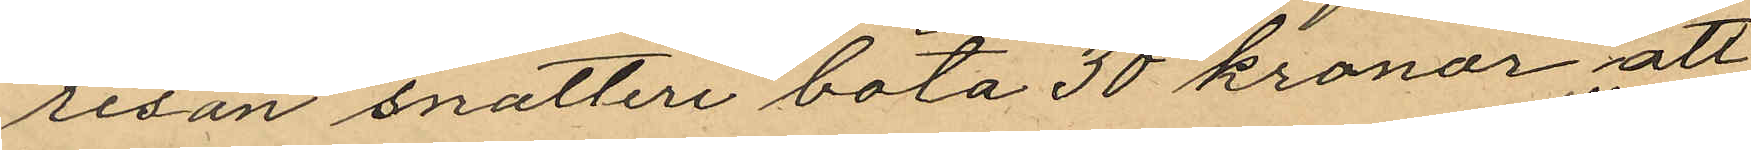resan snatteri böta 30 kronor att
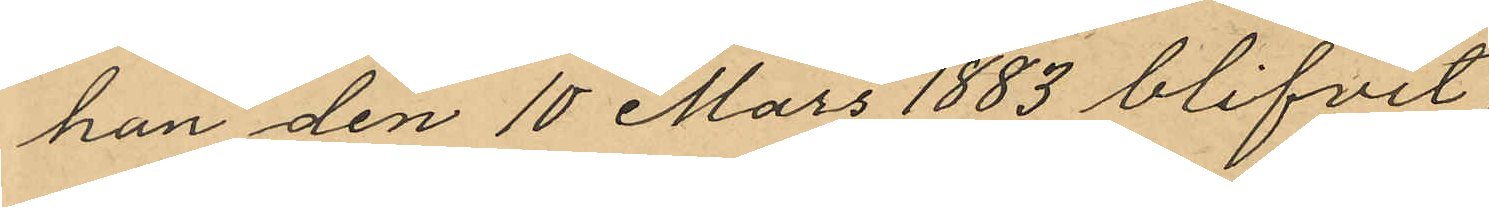han den 10 Mars 1883 blifvit
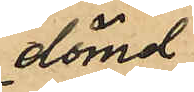dömd
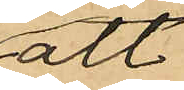att
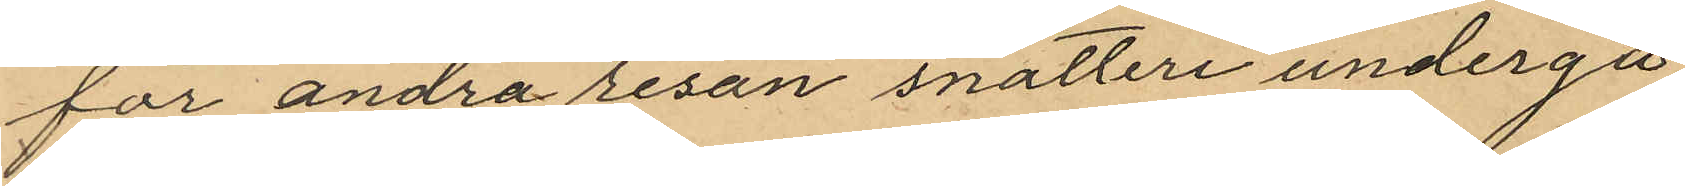för andra resan snatteri undergå
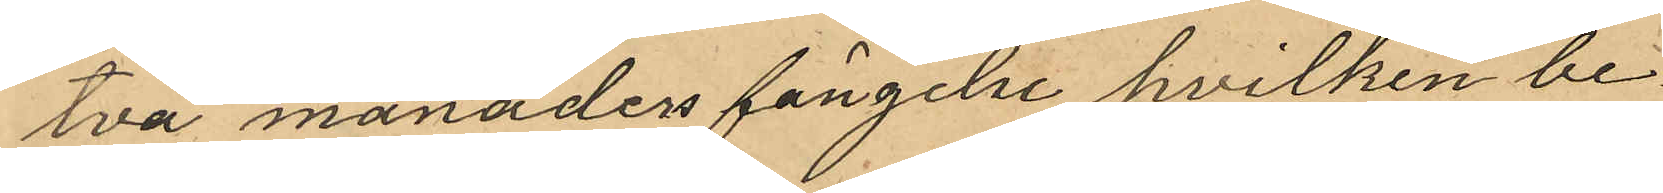två månaders fängelse hvilken be¬
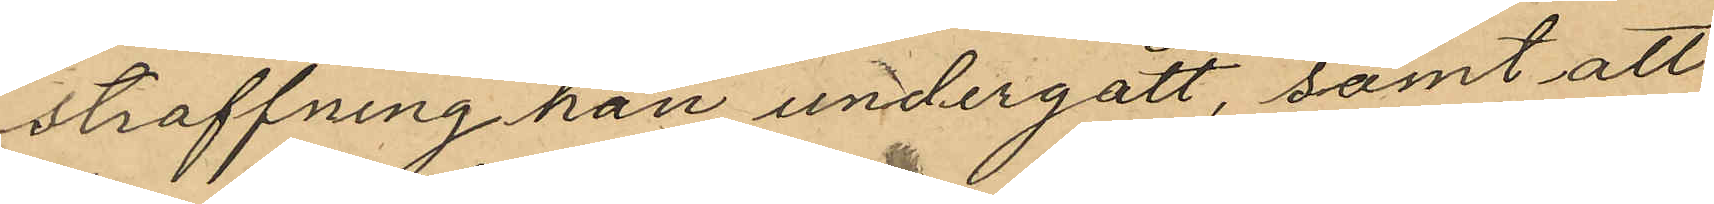straffning han undergått, samt att
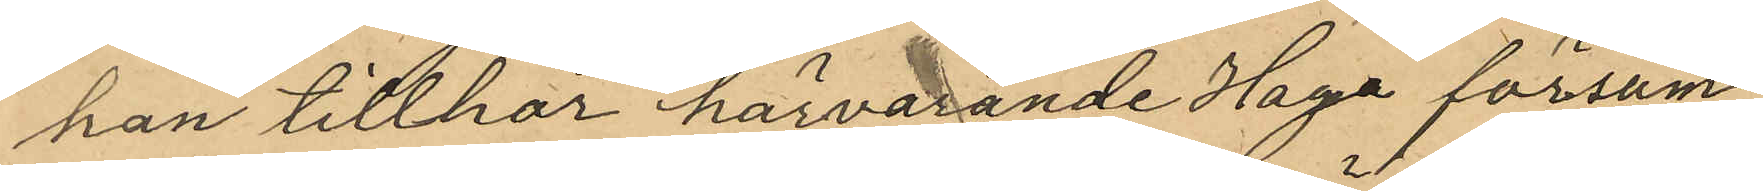han tillhör härvarande Haga försam¬
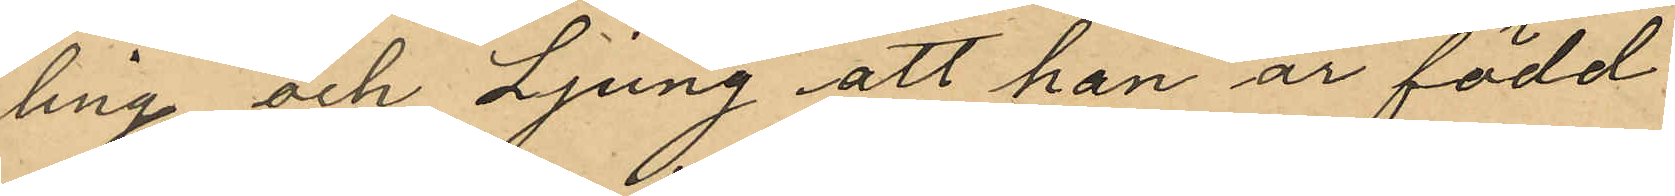ling, och Ljung att han är född
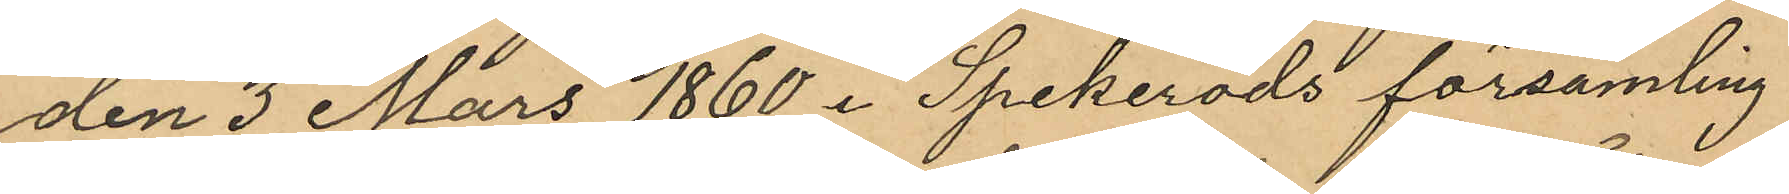den 3 Mars 1860 i Spekeröds församling
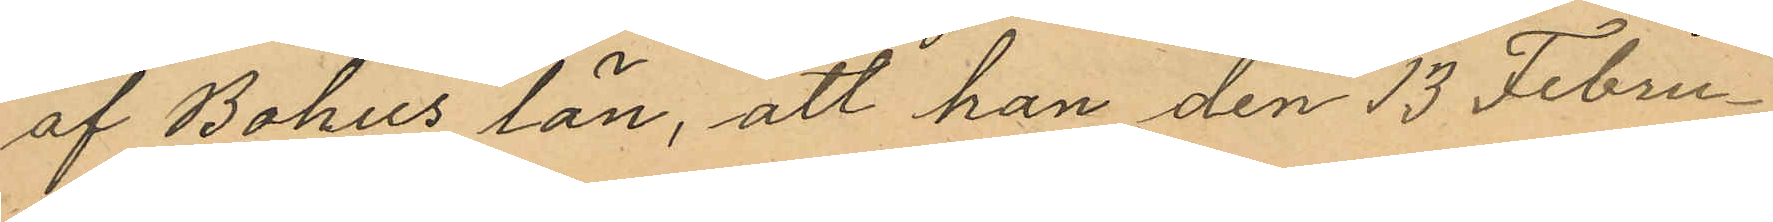af Bohus län, att han den 13 Febru¬
